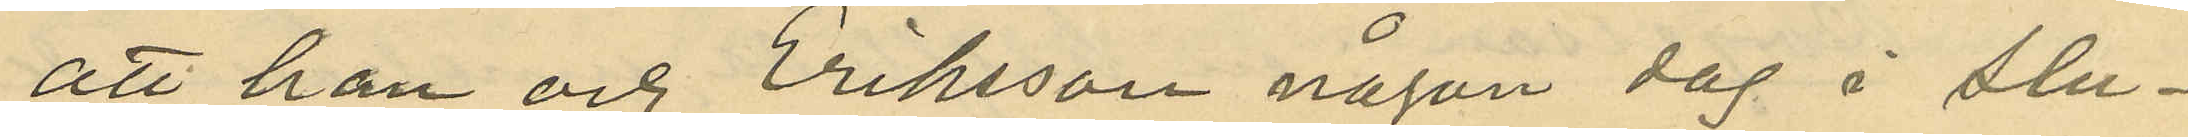att han och Eriksson någon dag å slu¬
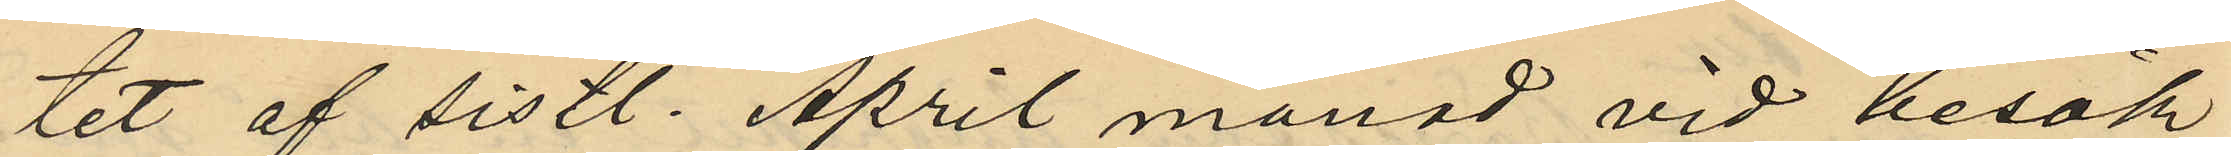tet af sistl. April månad vid besök
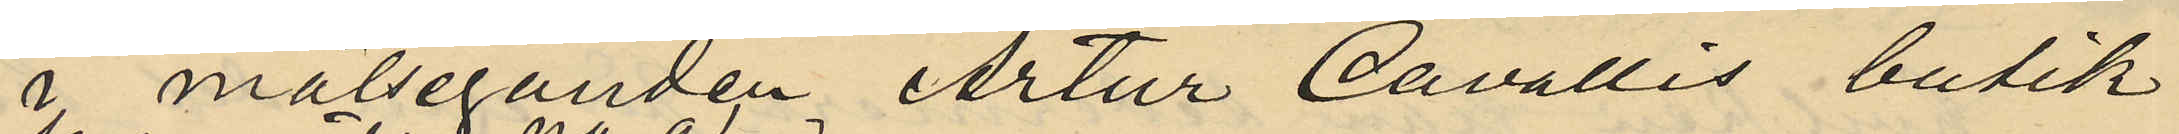i målseganden Artur Cavallis butik
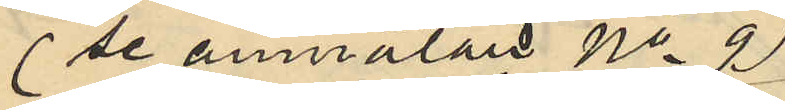(se anmälan No 9)
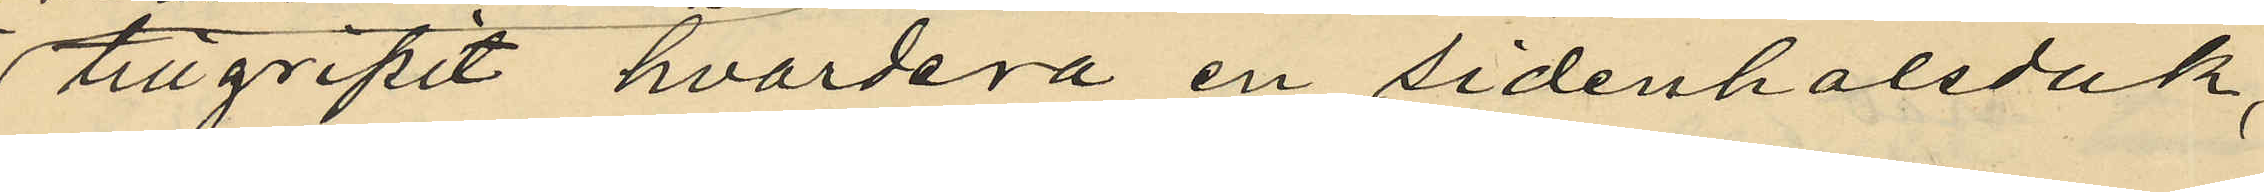tillgripit hvardera en sidenhalsduk,
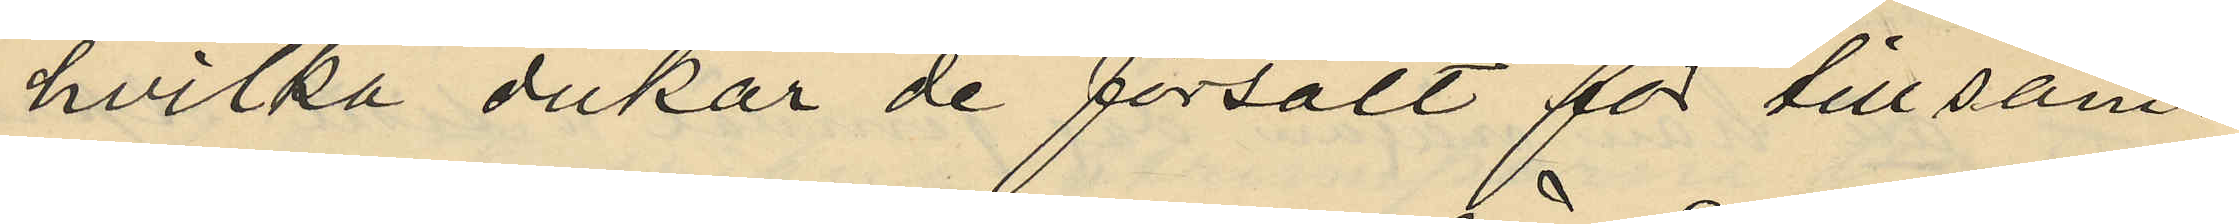hvilka dukar de försålt för till sam¬
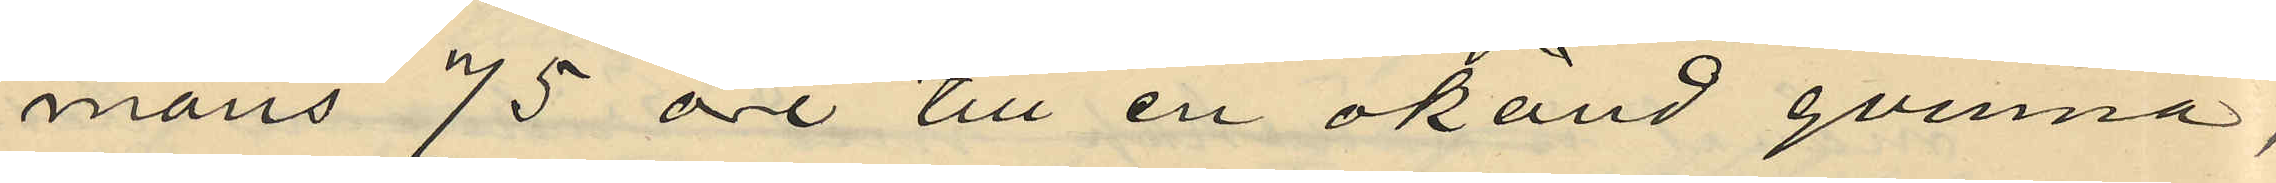mans 75 öre till en okänd qvinna,
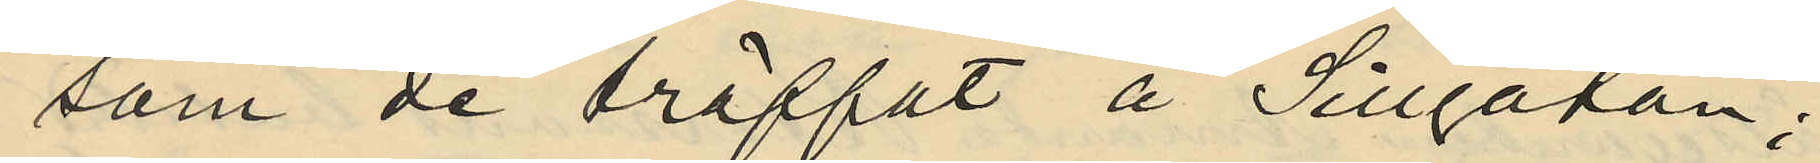som de träffat å Sillgatan;
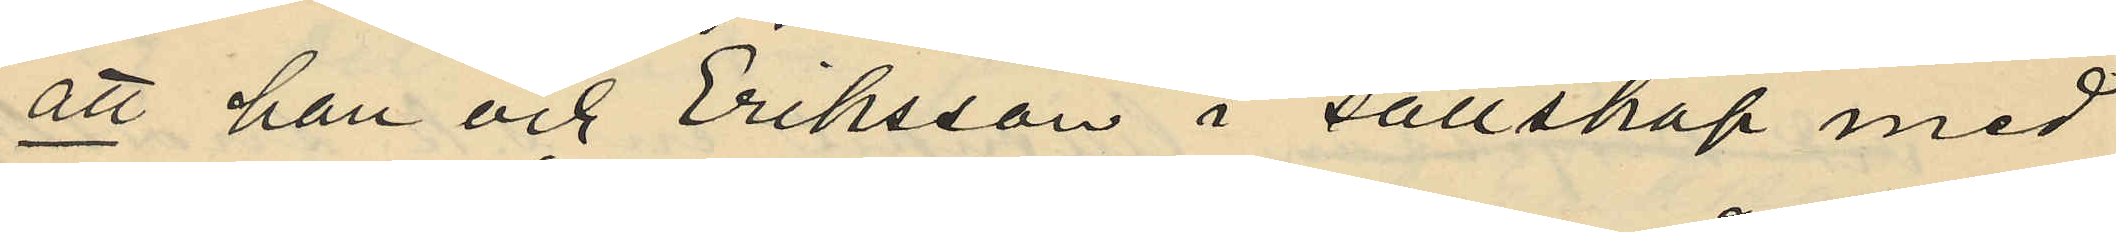att han och Eriksson i sällskap med
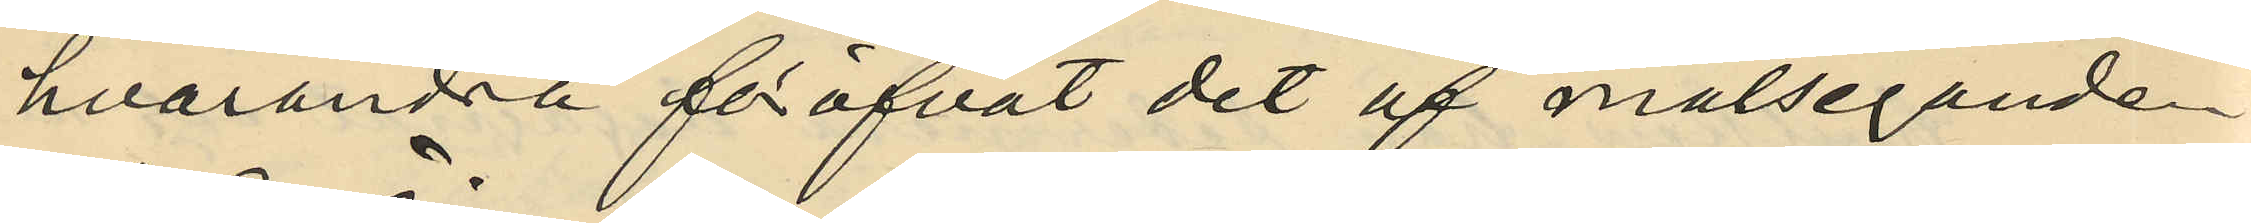hvarandra föröfvat det af målsegande
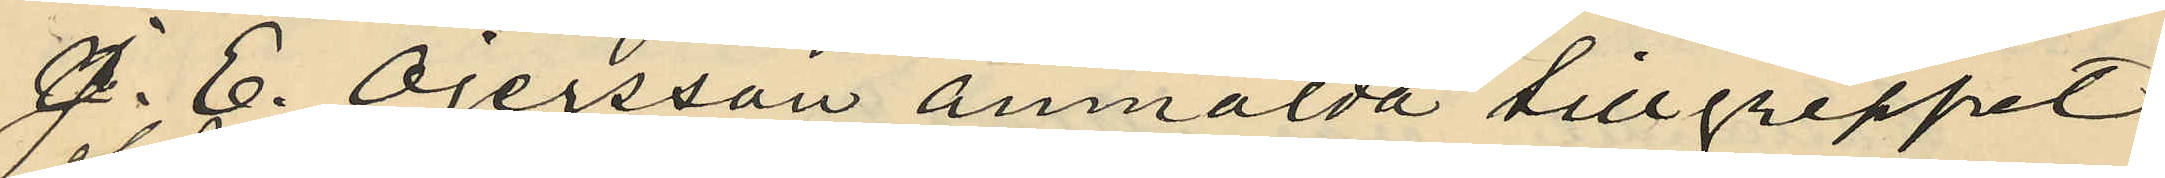C. E. Öjersson anmälda tillgreppet
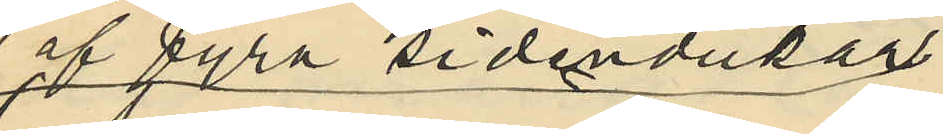af fyra sidendukar
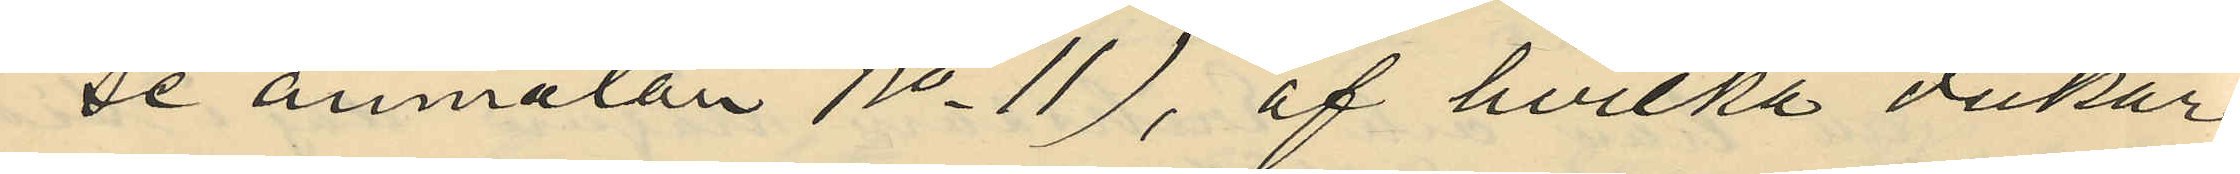(se anmälan No 11), af hvilka dukar
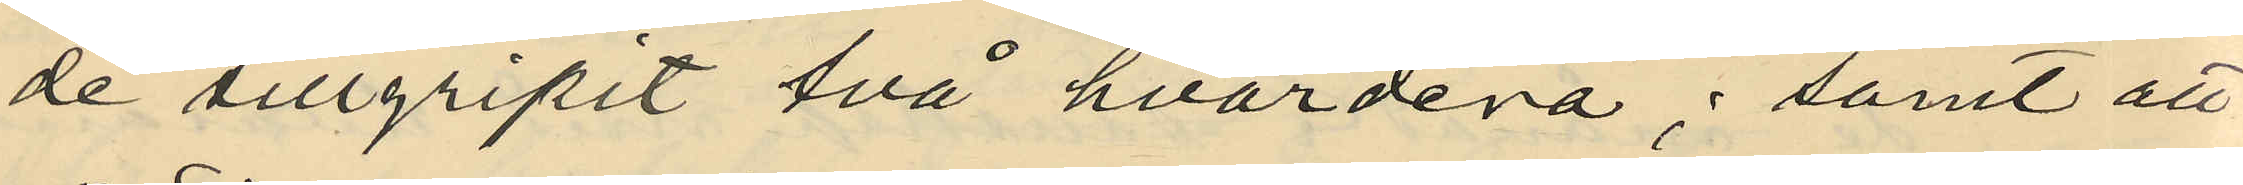de tillgripit två hvardera; samt att
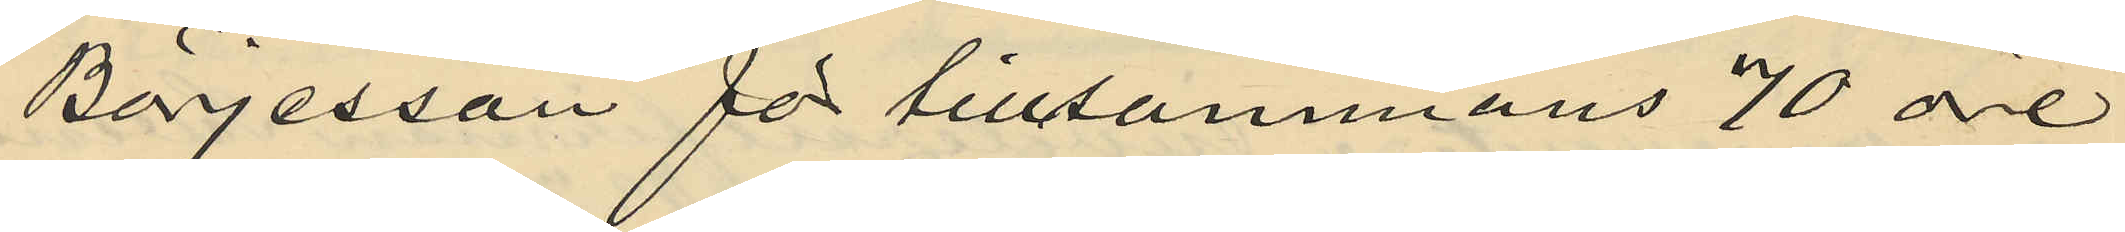Börjesson för tillsammans 70 öre
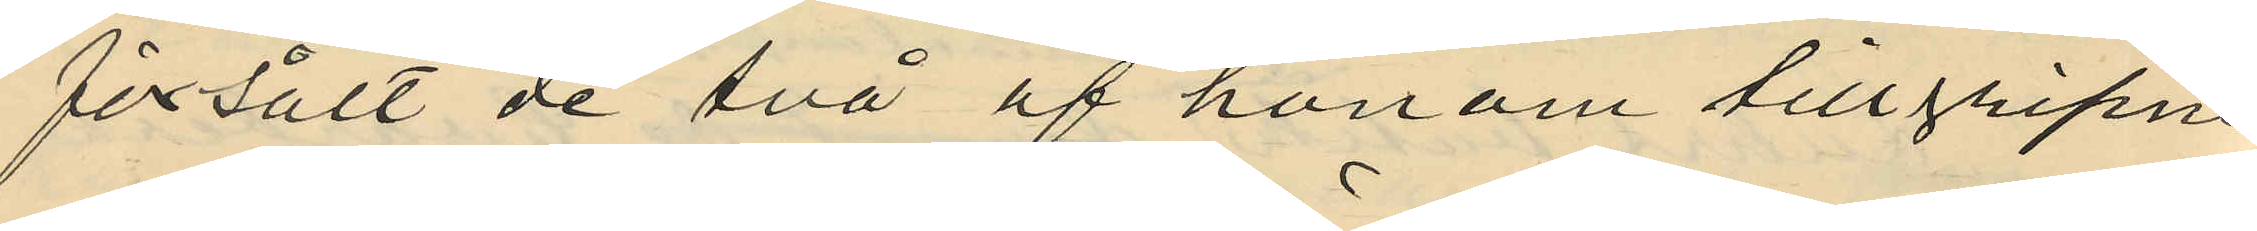försålt de två af honom tillgripne
